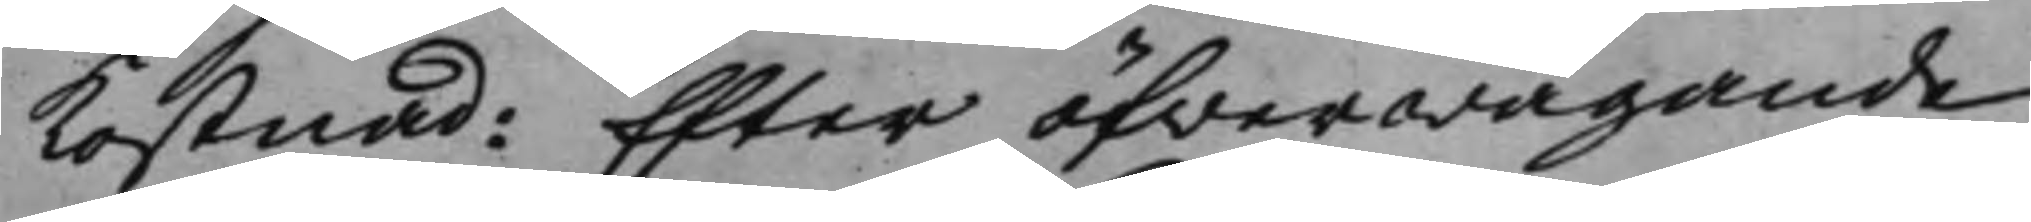kostnad. Efter öfwerwägande
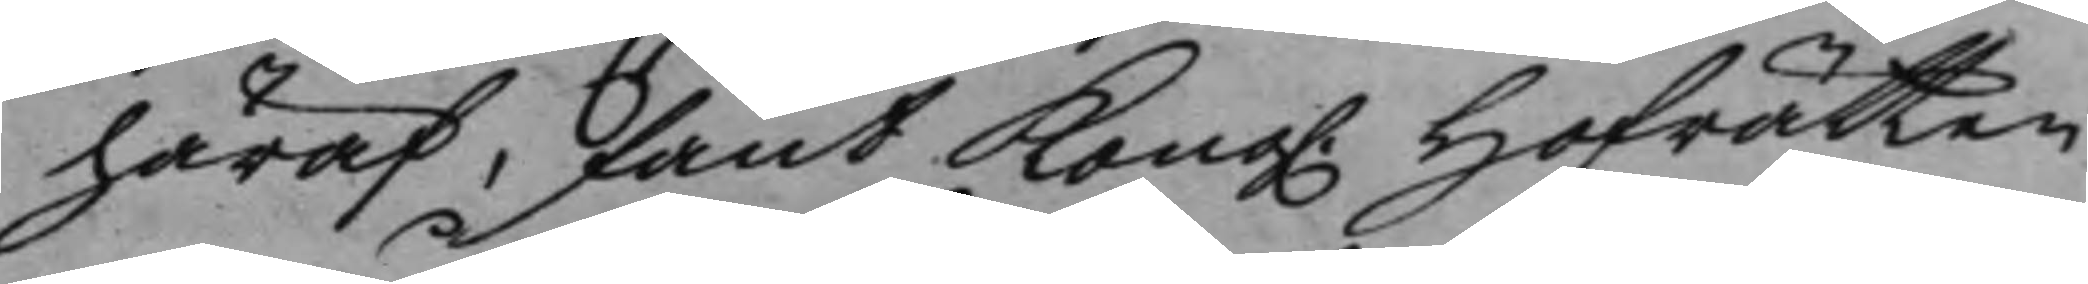häraf, fant Kong. Hofrätten 
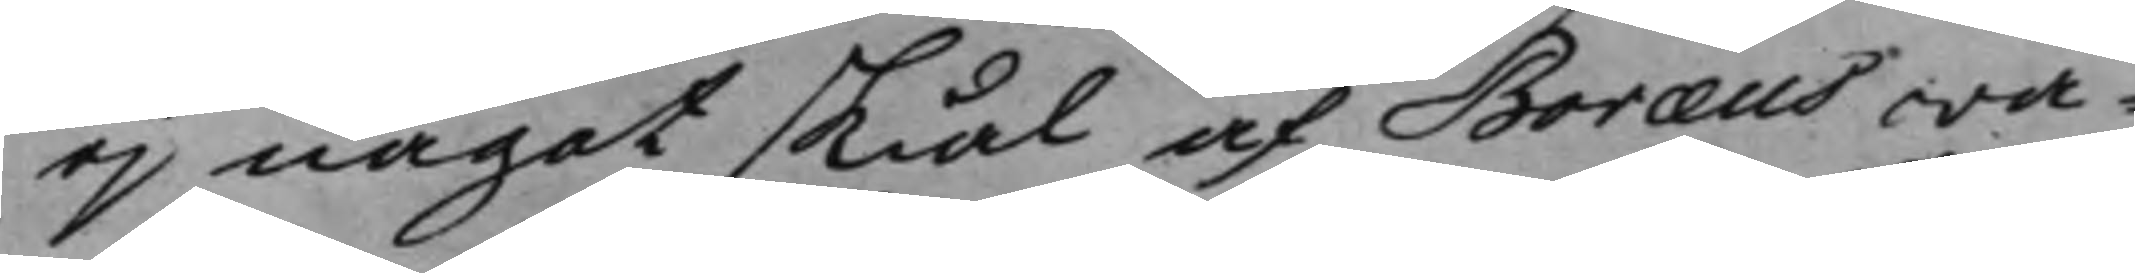ej något skiäl af Boræus wa¬
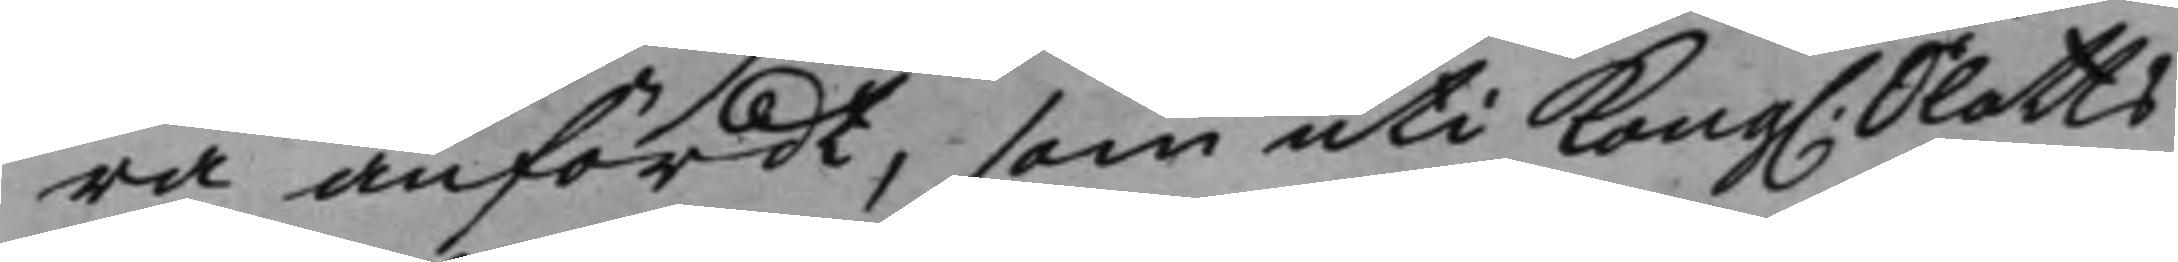ra anfördt, som uti Kong. Slotts¬ 
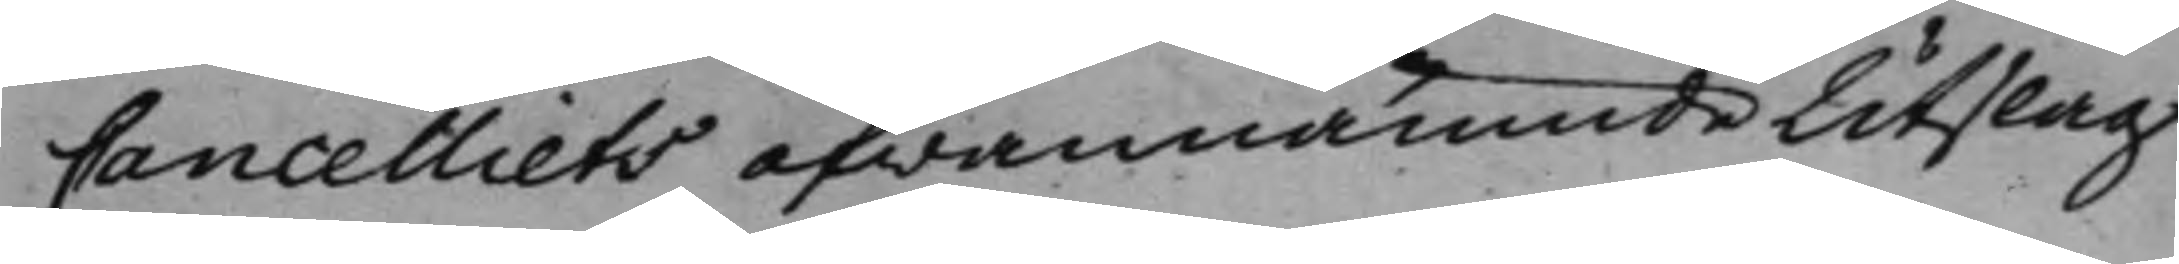Cancelliets ofwannämde Utslag
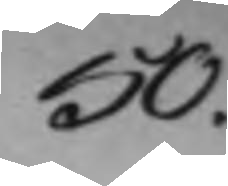50. 
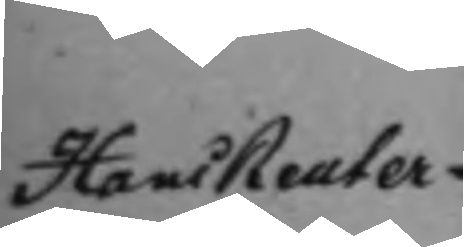Hans Reuter¬
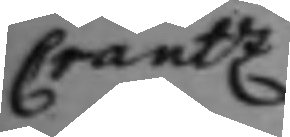creutz
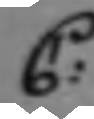C:
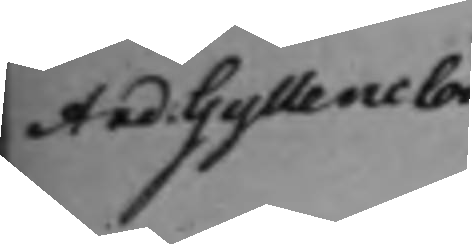And. Gyllenclou
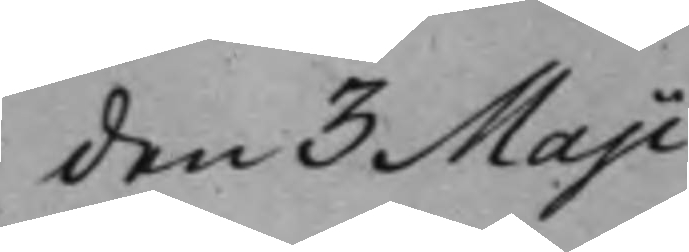den 3 Maji
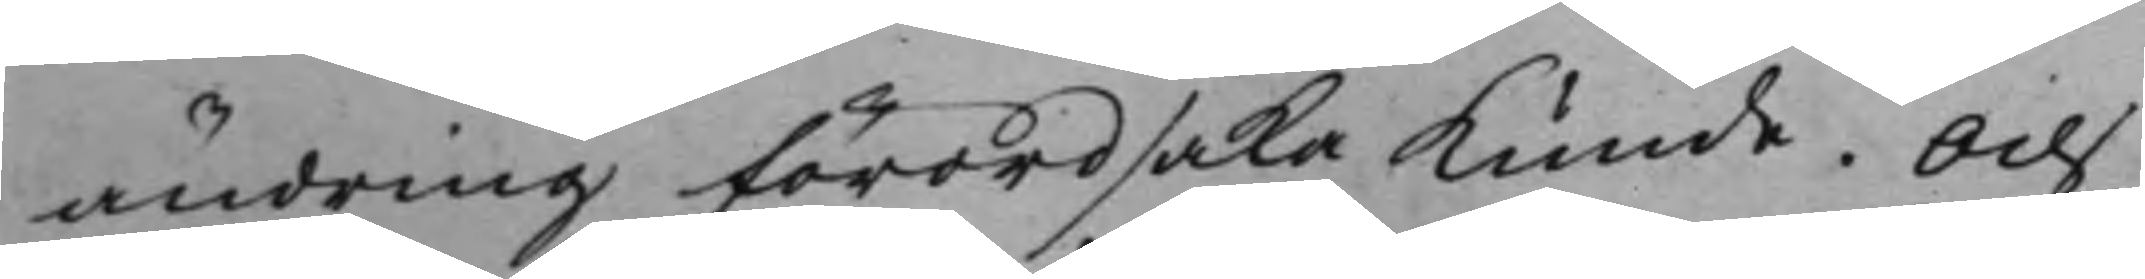ändring förordsaka kunde. Och
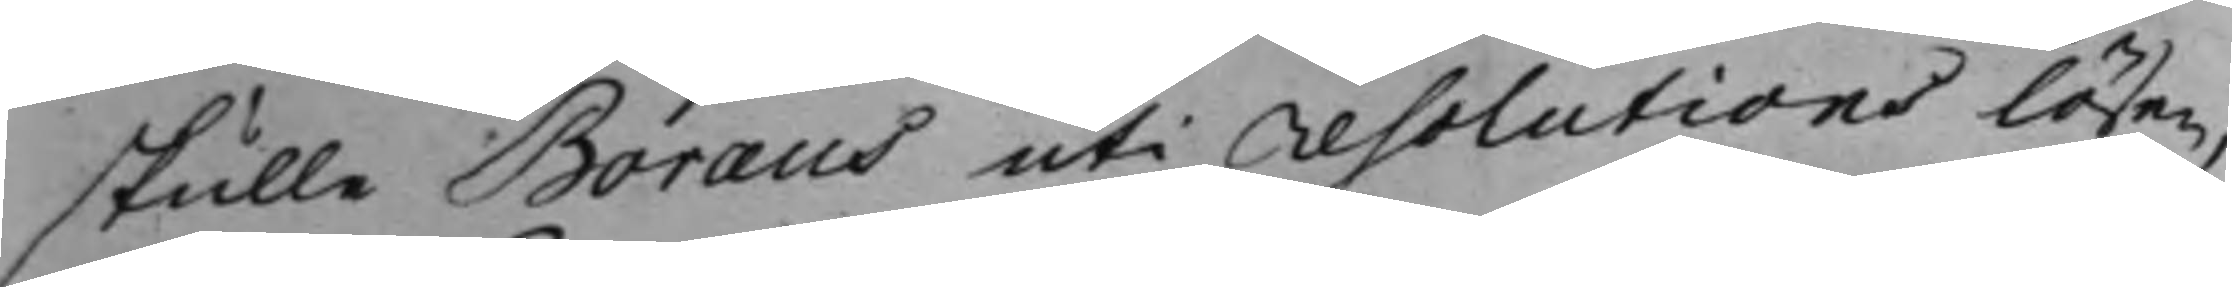skulle Boræus uti resolutions lösen,
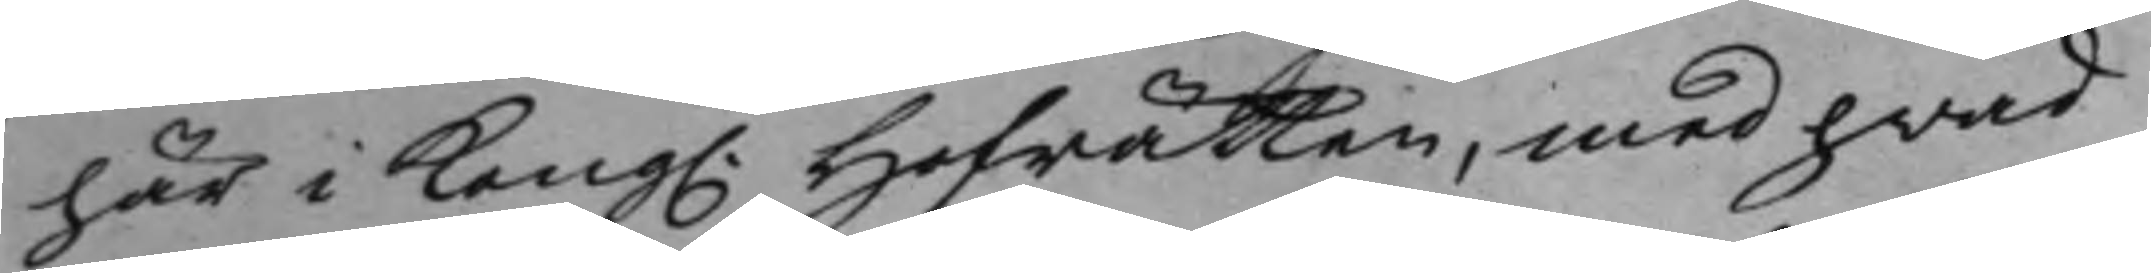här i Kong. Hofrätten, med hwad
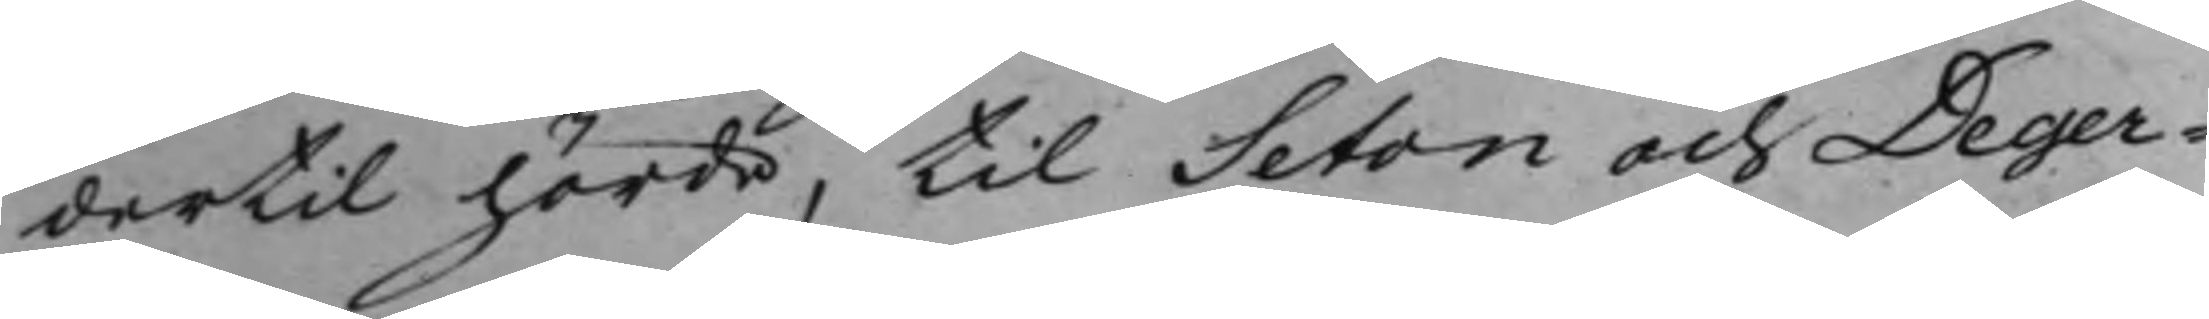dertil hörde, til Seton och Deger¬
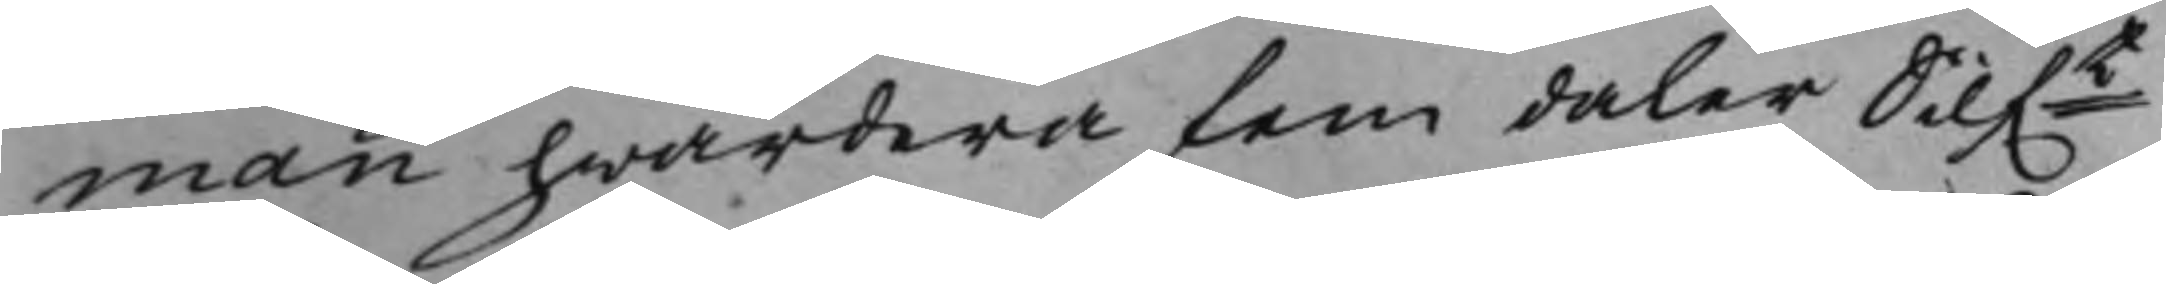man hwardera fem daler Silf.t
